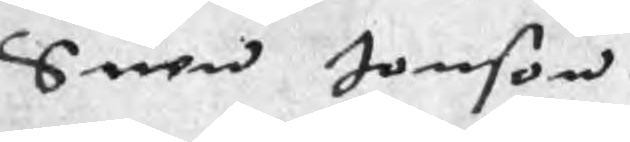Suen Jonson
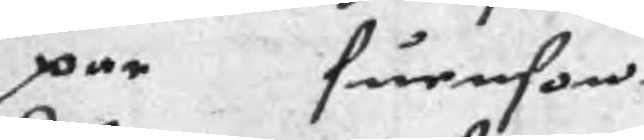par Suenson
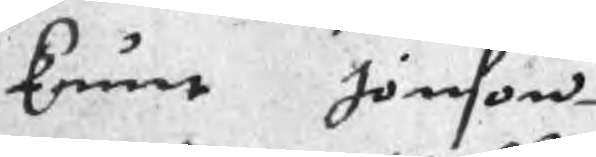knut Jönson
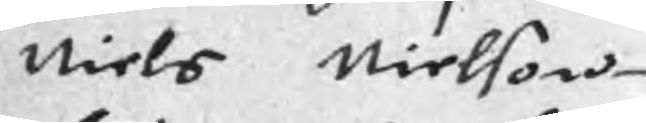Niels Nielson
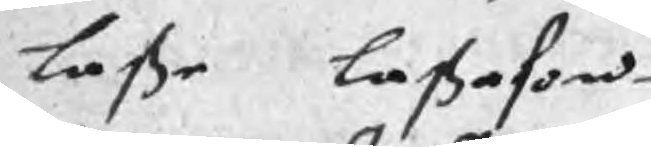Laße Laßason
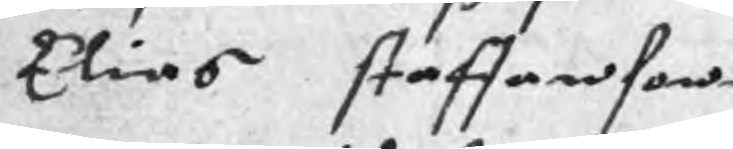Elias staffanson
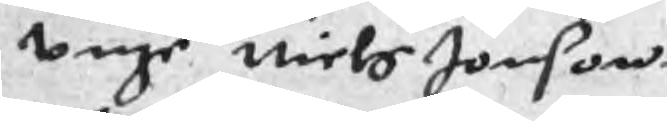unge Niels Jonson
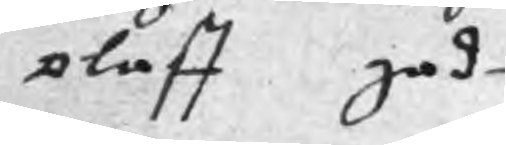olaff gad
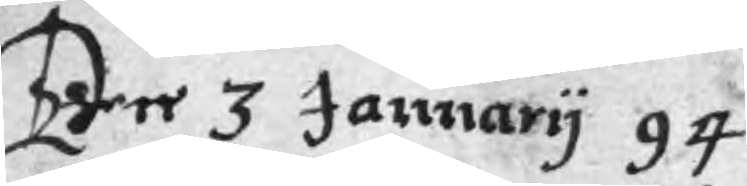Ten 3 Januarij 94
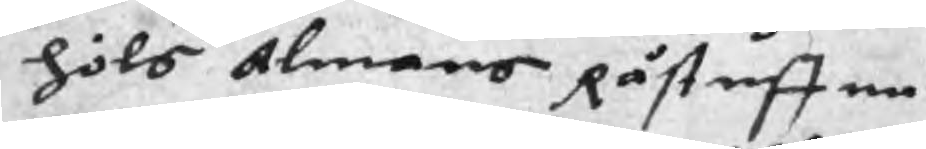höls almans Råstuffue
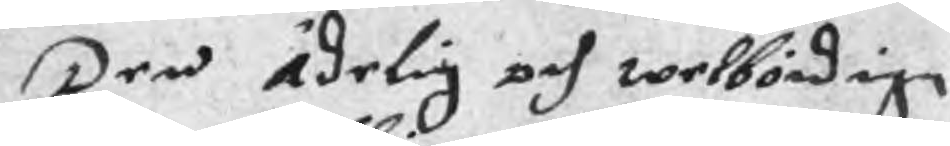Den ädelig och welbördige
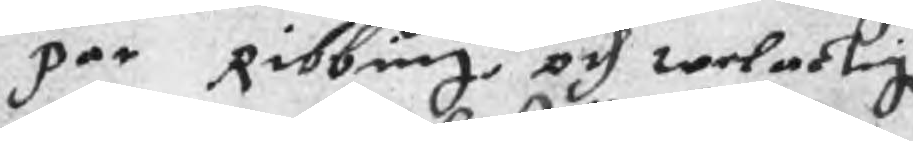per Ribbing och welactig
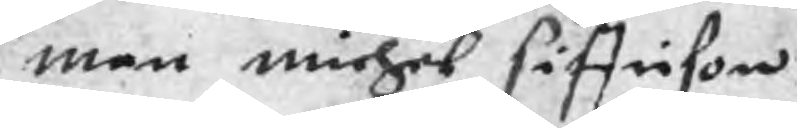man michel siffrison
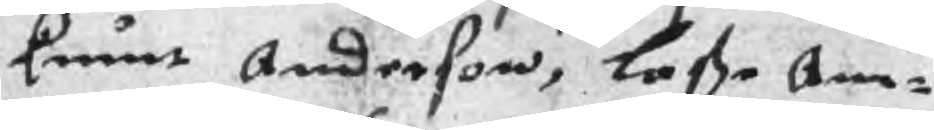knut Anderson, Laße Am¬
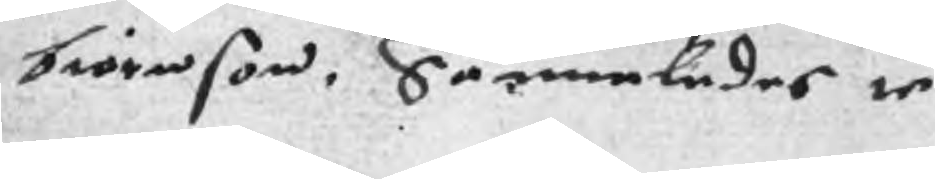biörnson, Sammledes te
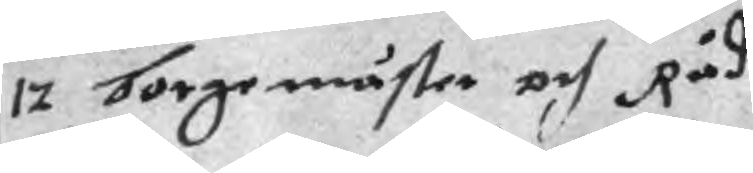12 Borgemäster och Råd
